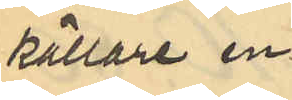källare en
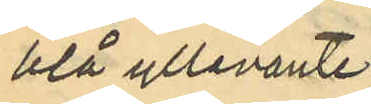blå yllevante
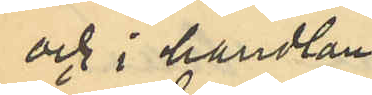och i handlan¬
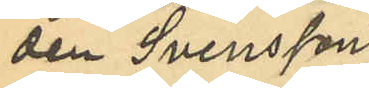den Svenssons
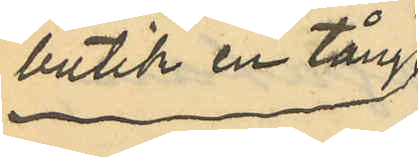butik en tång
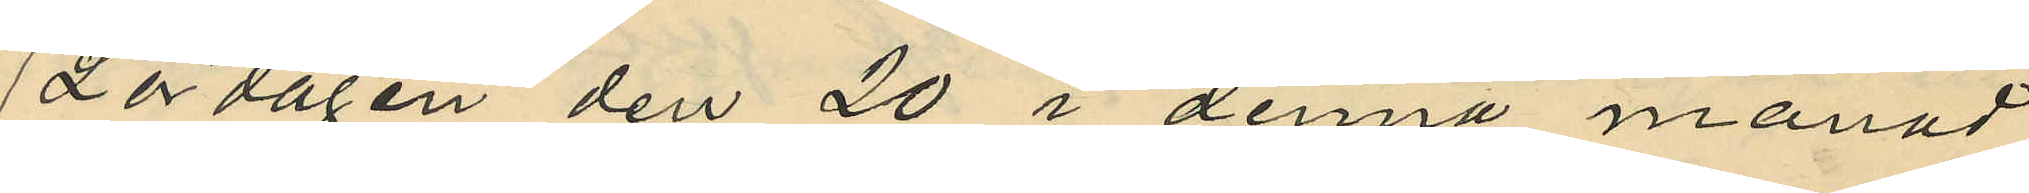Lördagen den 20 i denna månad
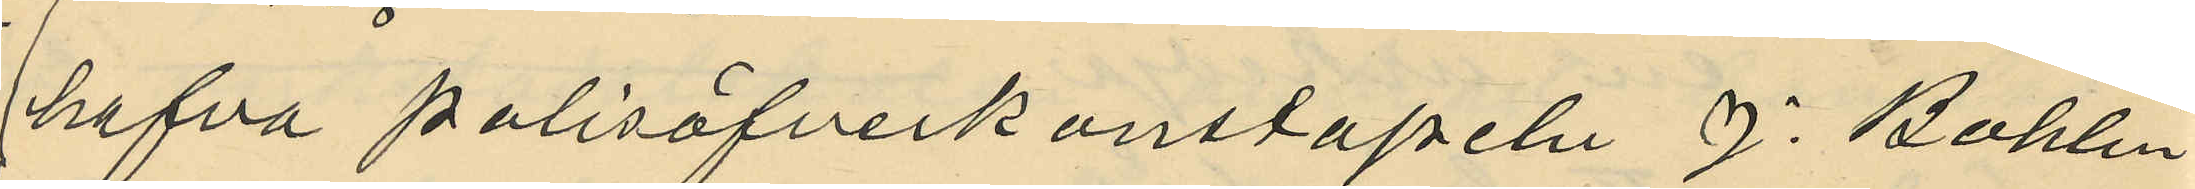hafva polisöfverkonstapeln J. Bohlin
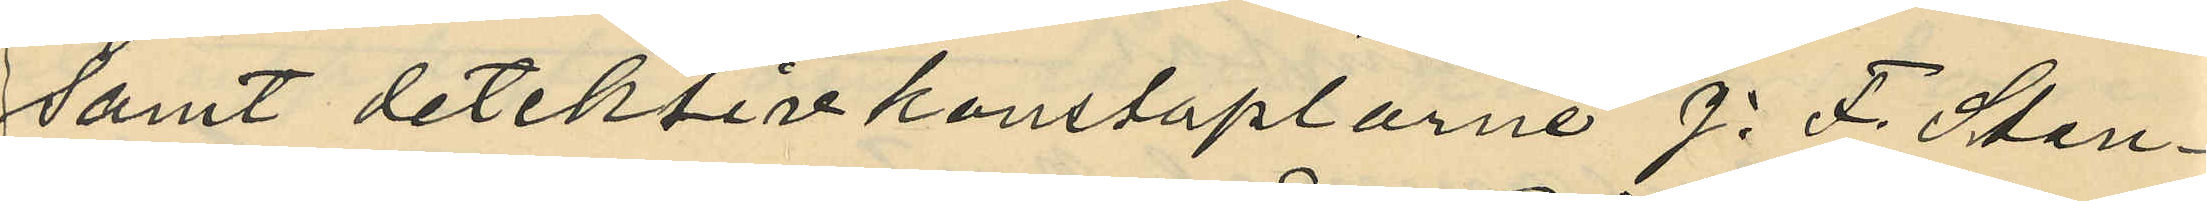samt detektivkonstaplarne J. F. Sten¬
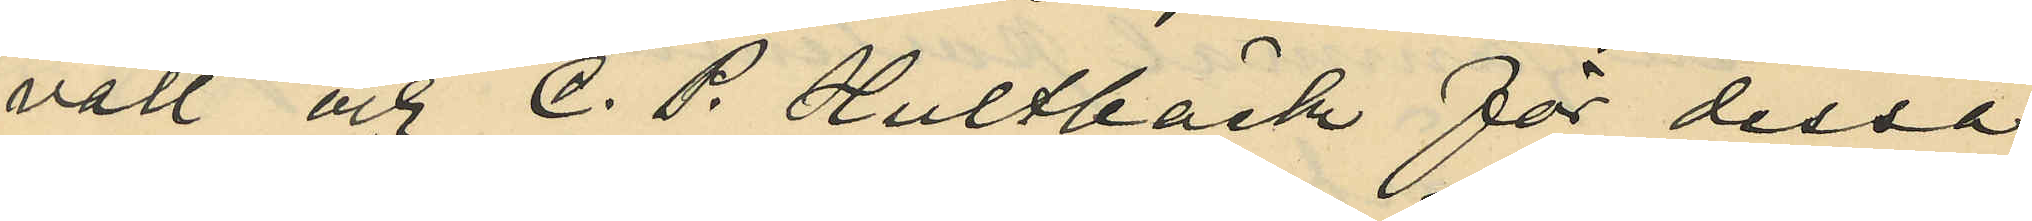vall och C. P. Hultbäck för dessa
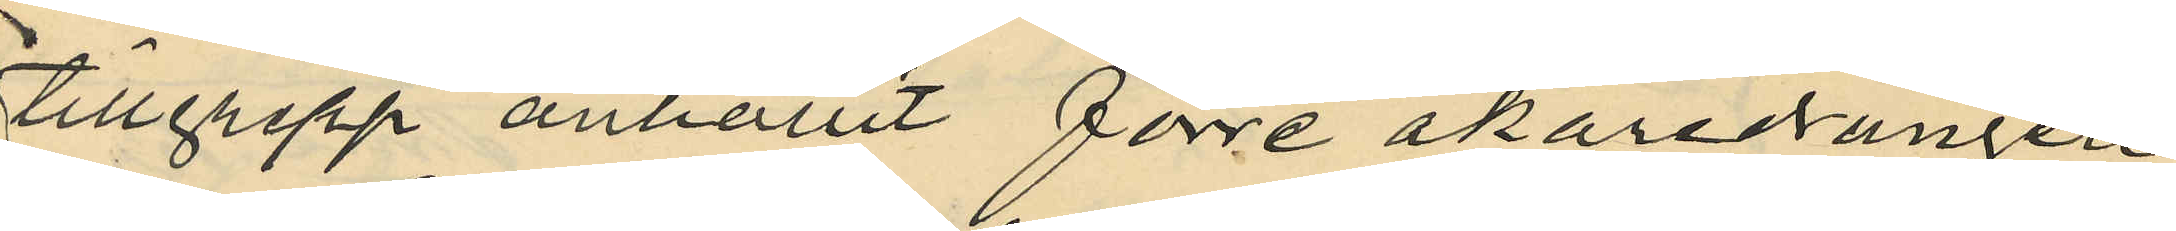tillgrepp anhållit förre åkaredrängen
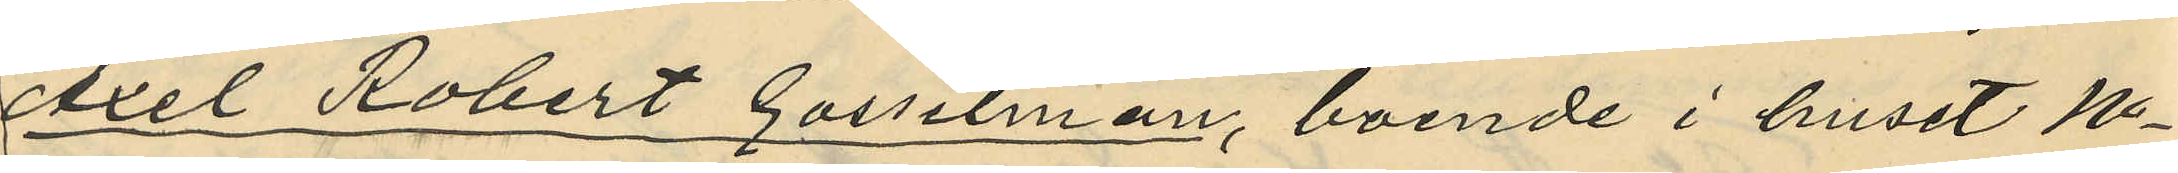Axel Robert Gosselman, boende i huset No
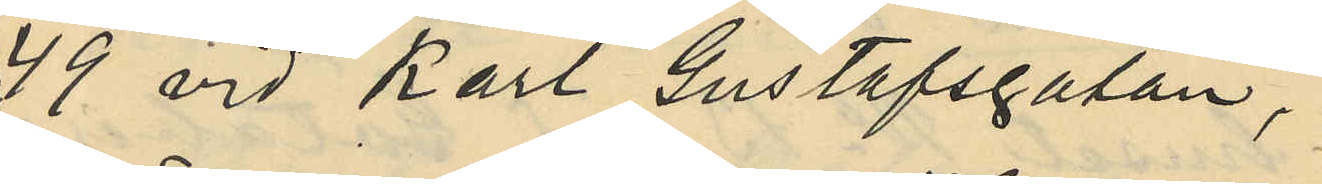49 vid Karl Gustafsgatan,
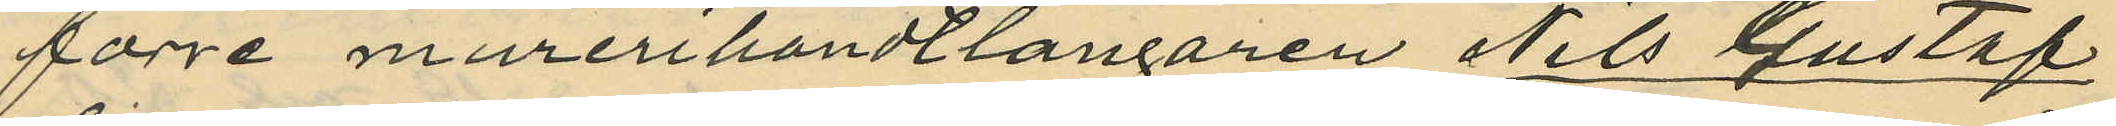förre murerihandtlangaren Nils Gustaf
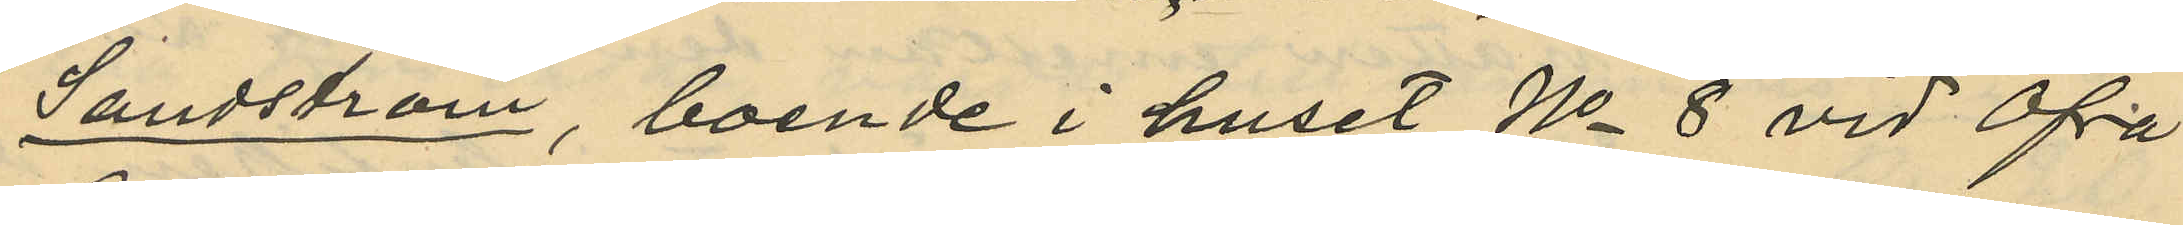Sandström, boende i huset No 8 vid Öfre
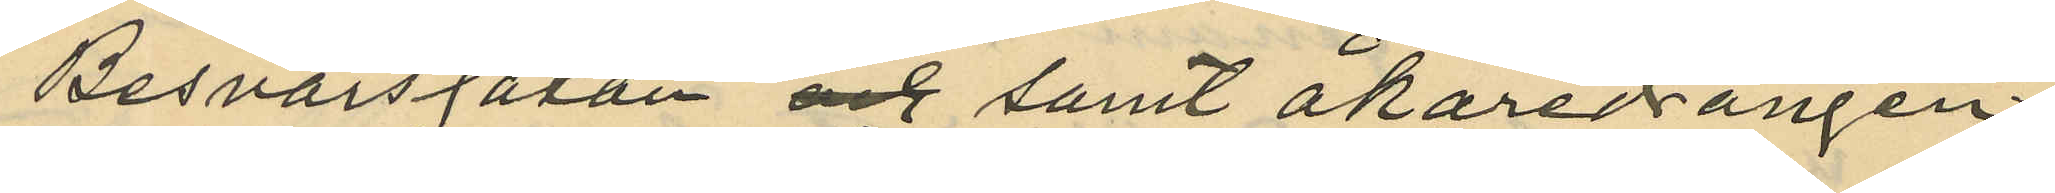Besvärsgatan och samt åkaredrängen
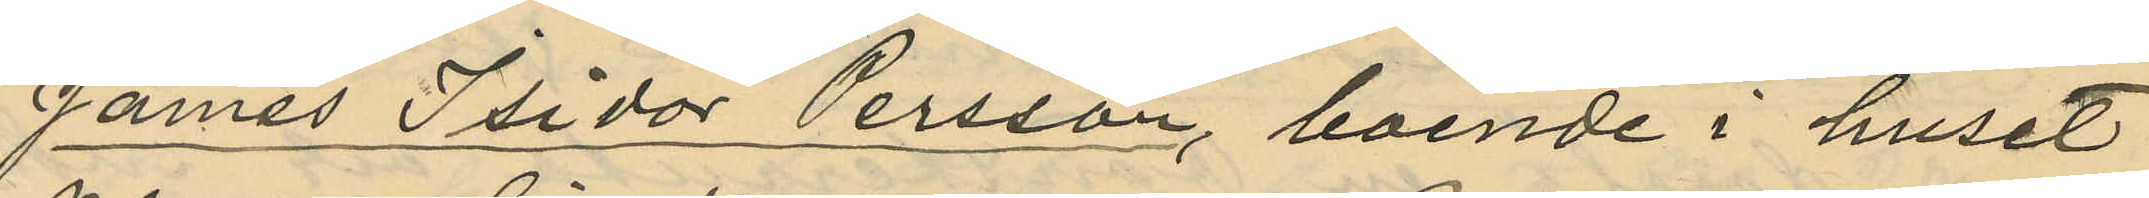James Isidor Persson, boende i huset
